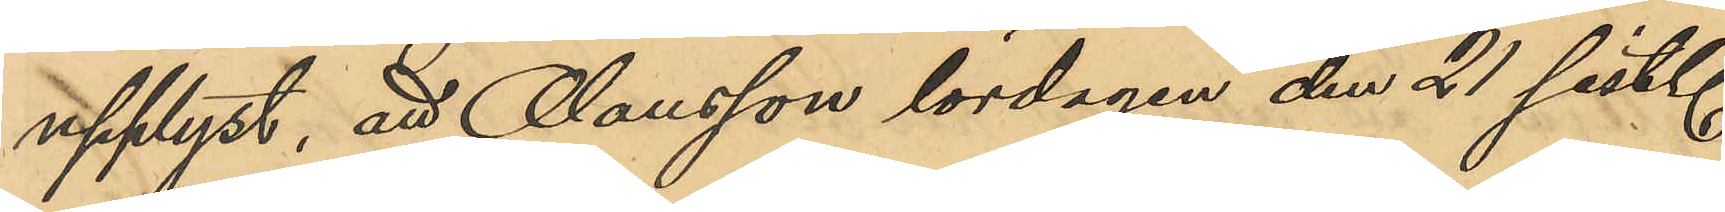upplyst, att Olausson lördagen den 21 sist.
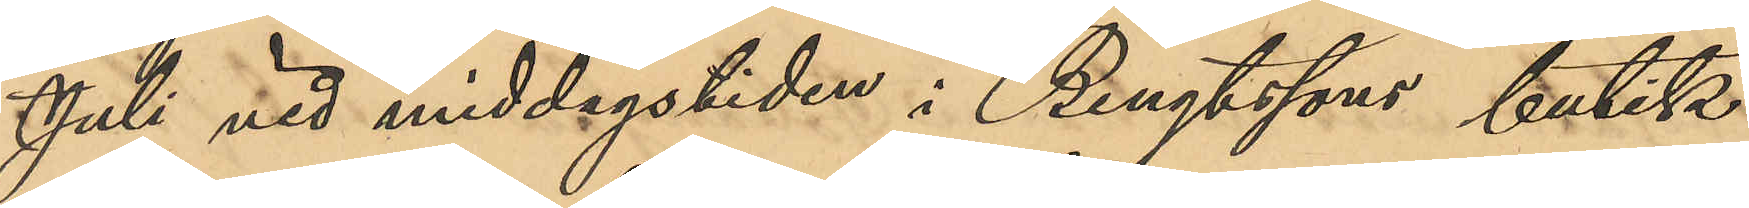JUli vid middagstiden i Bengtssons butik
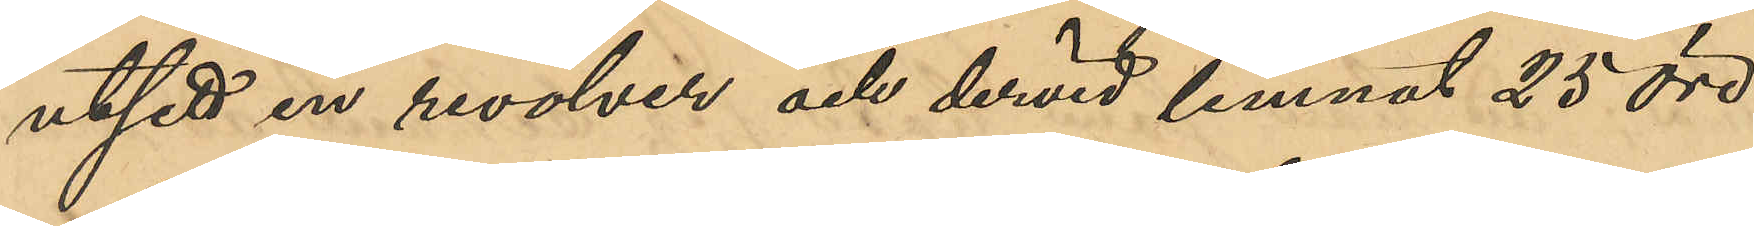utsett en revolver och dervid lemnat 25 öre
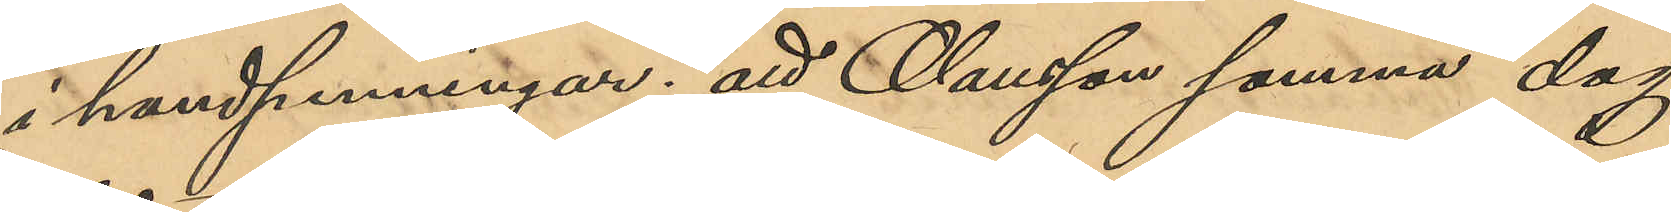i handpenningar; att Olausson samma dag
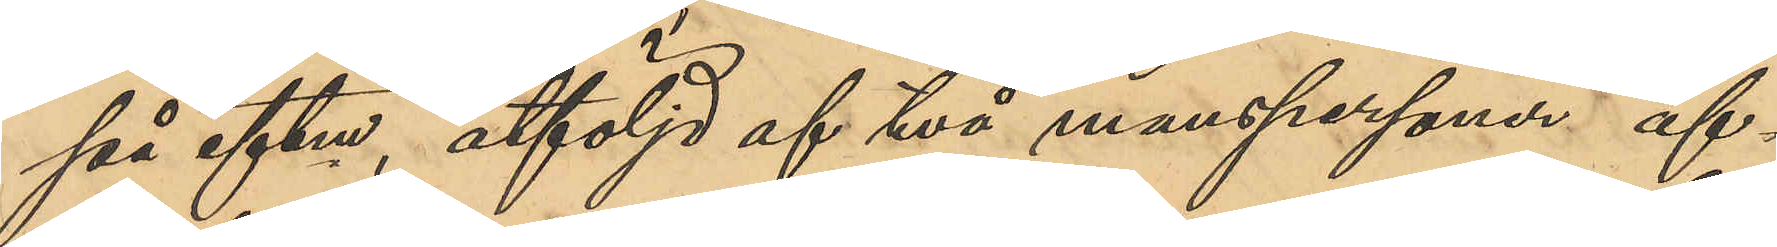på eftm, åtföljd af två manspersoner af¬
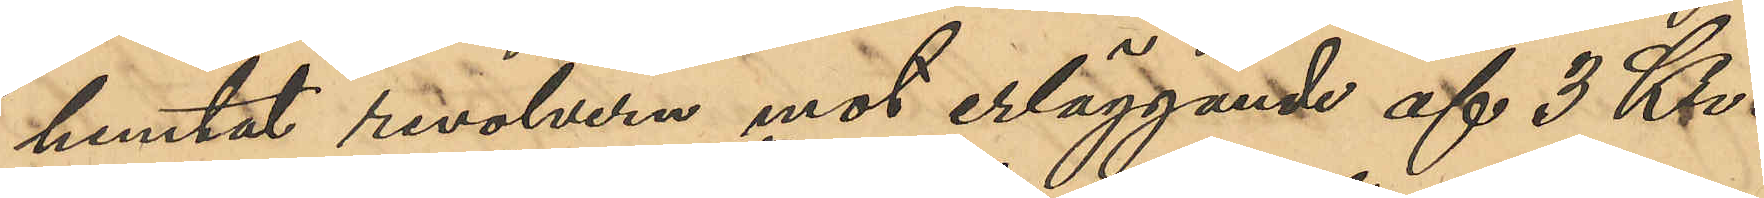hemtat revolvern mot erläggande af 3 Kr.
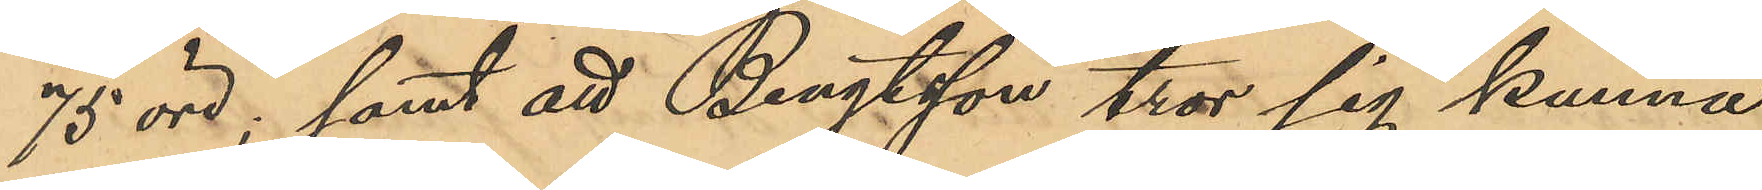75 öre; samt att Bengtsson tror sig kunna
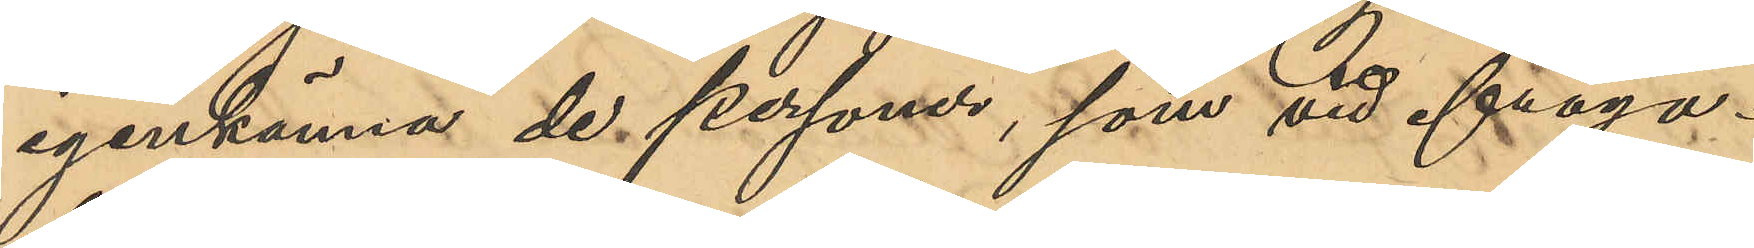igenkänna de personer, som vid ifråga¬
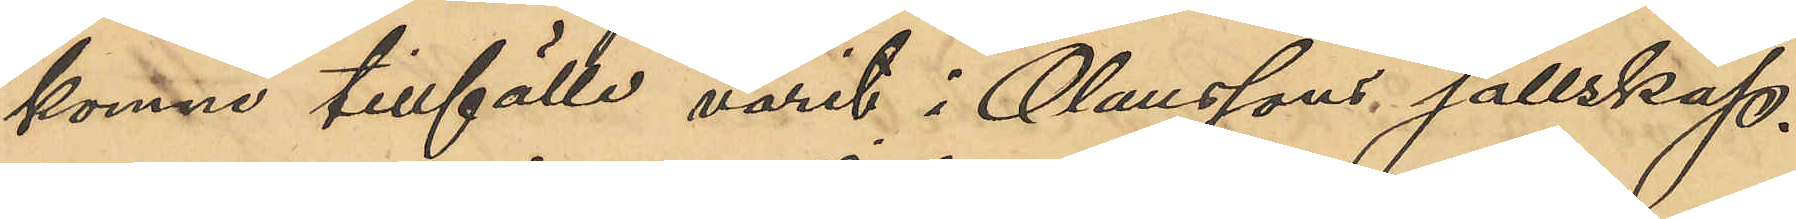komne tillfälle varit i Olaussons sällskap.
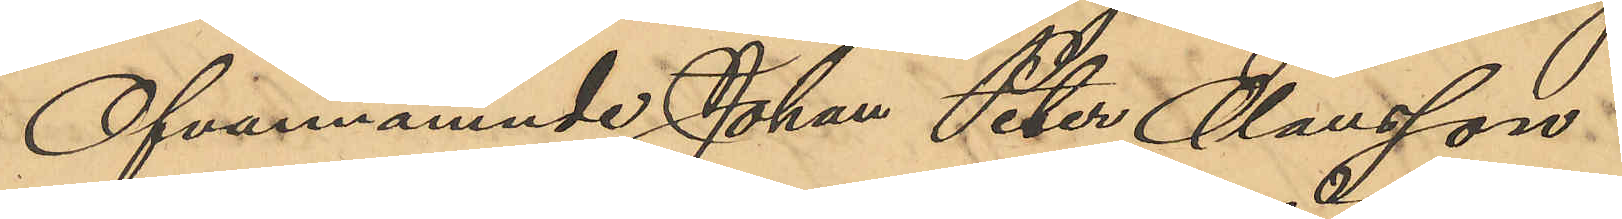Ofvannämnde Johan Peter Olausson
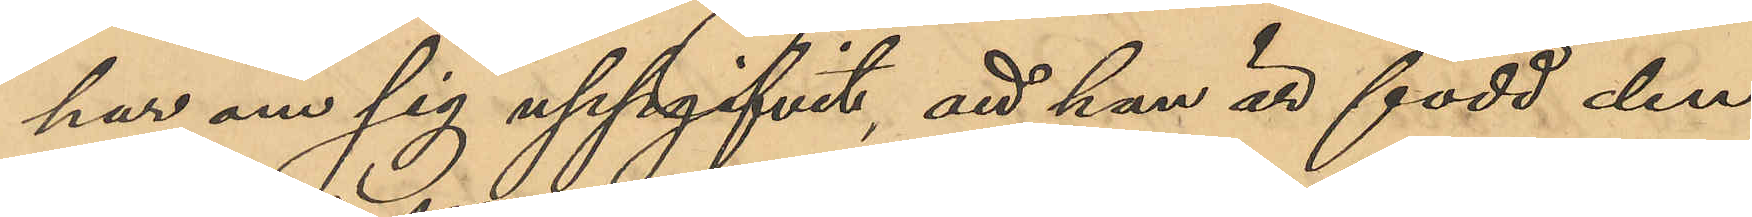har om sig uppgifvit, att han är född den
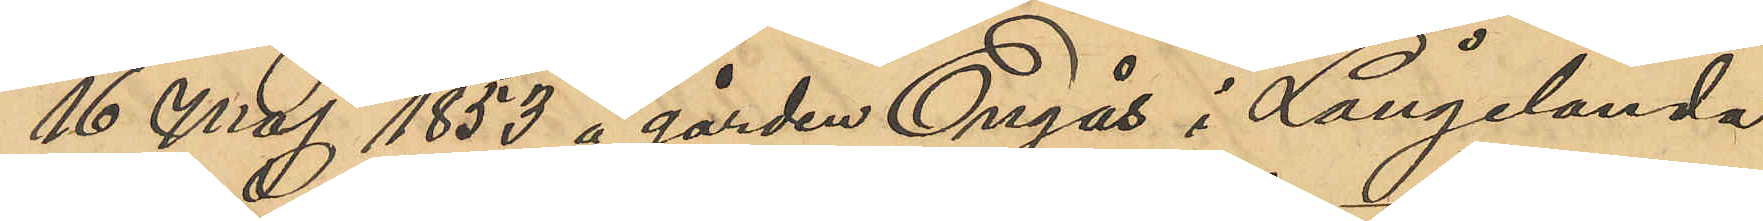16 Maj 1853 å gården Engås i Långelanda
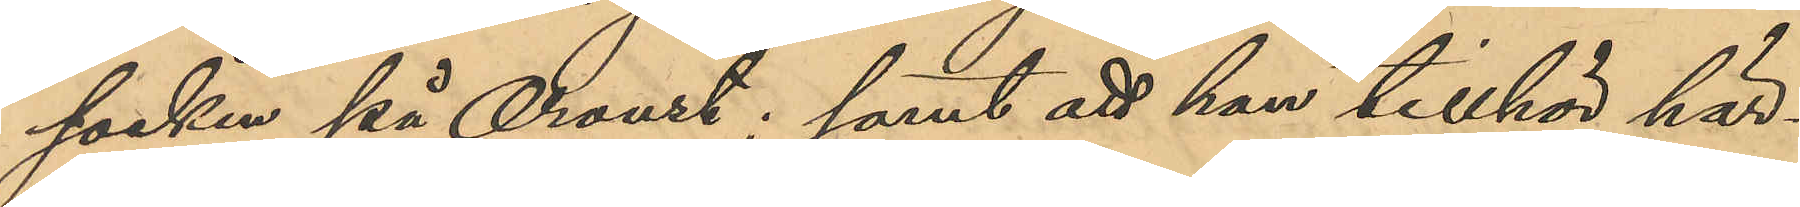socken på Oroust; samt att han tillhör här¬
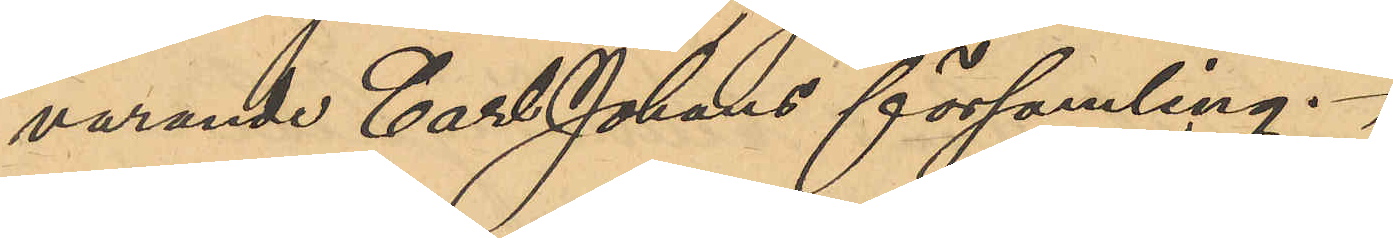varande Carl Johans församling.
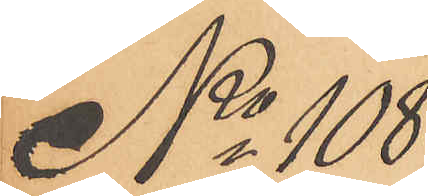No 108
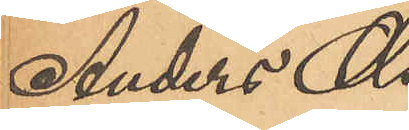Anders Ols¬
